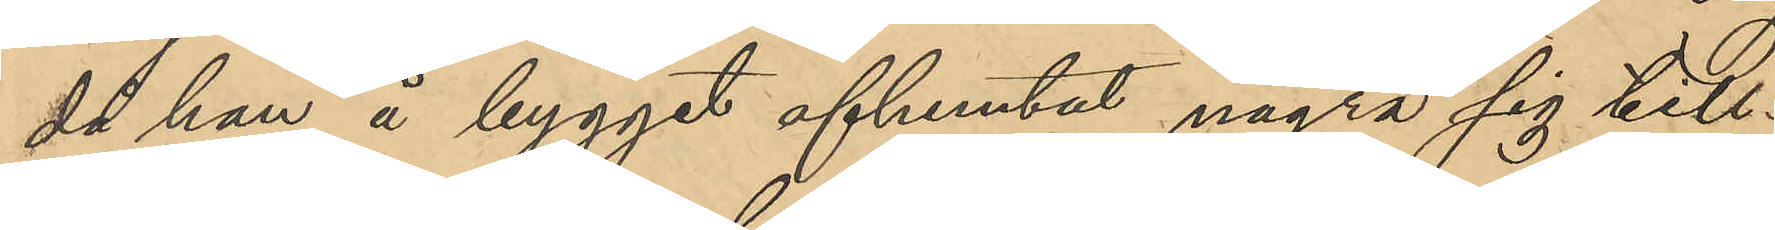då han å bygget afhemtat några sig till¬
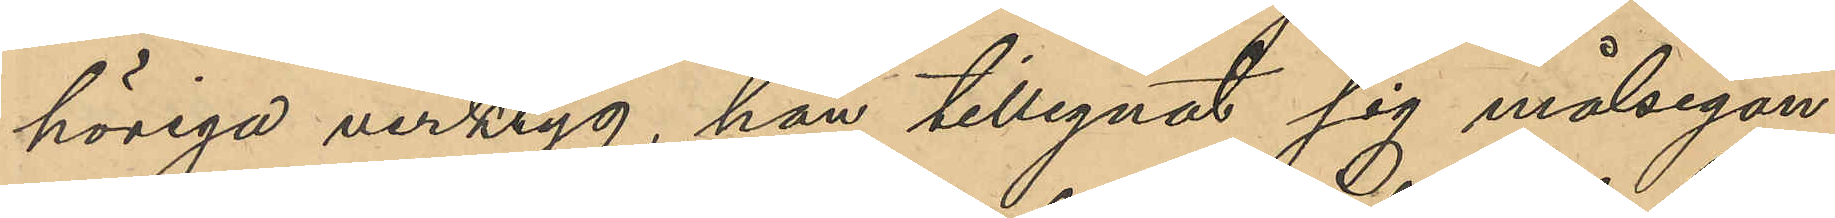höriga verktyg, han tillegnat sig målsegan¬
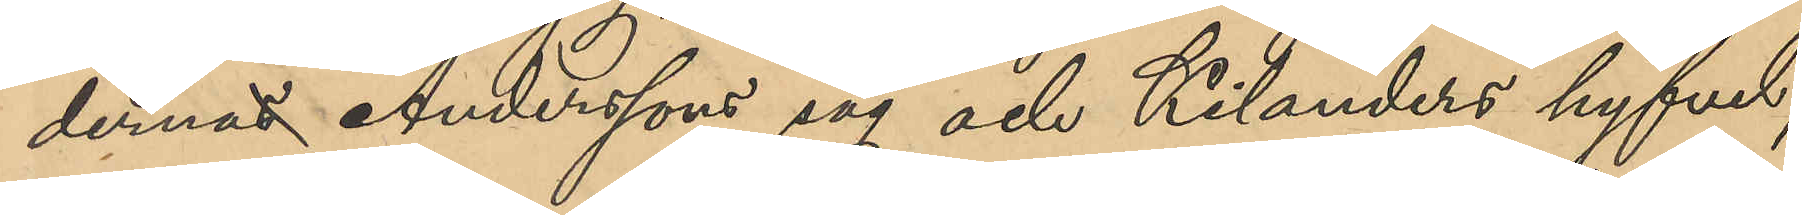dernas  Anderssons såg och Kilanders hyfvel,
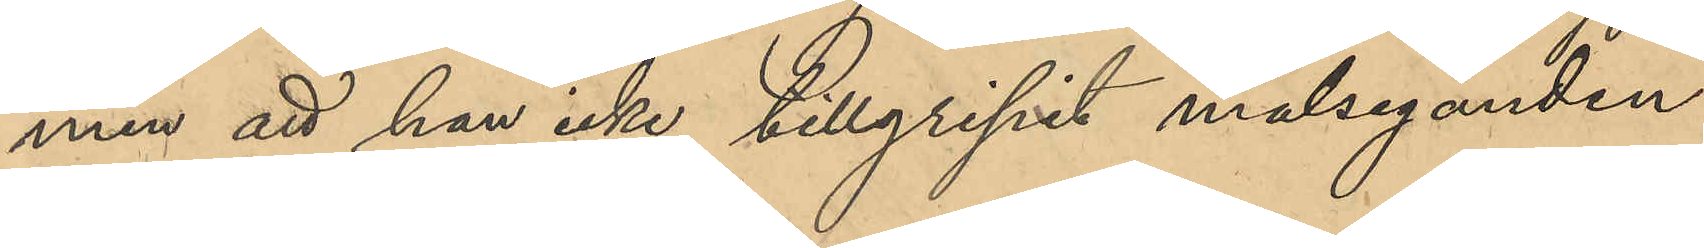men att han icke tillgripit målseganden
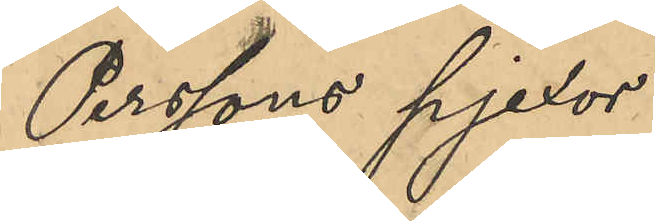Perssons pjexor.
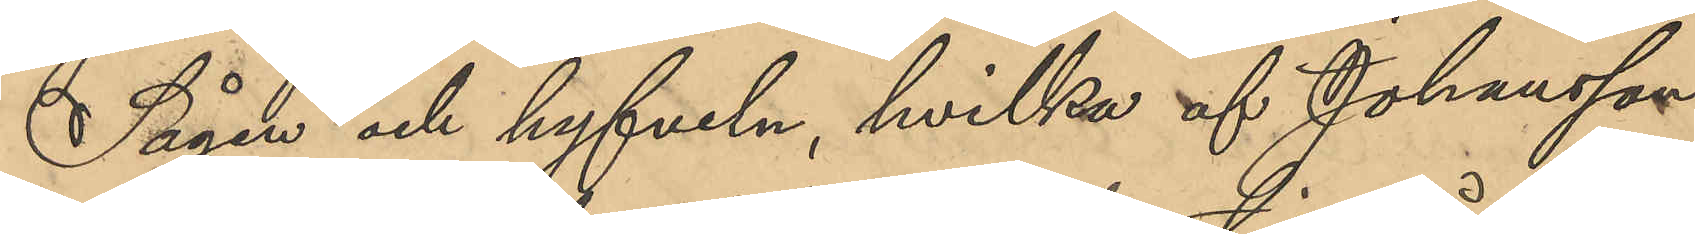Sågen och hyfveln, hvilka af Johansson
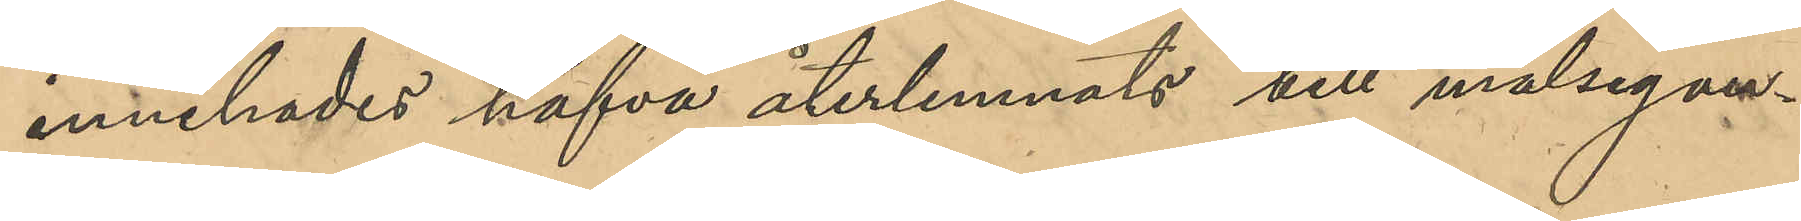innehades hafva återlemnats till målsegan¬
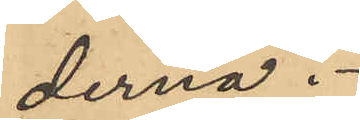derna.
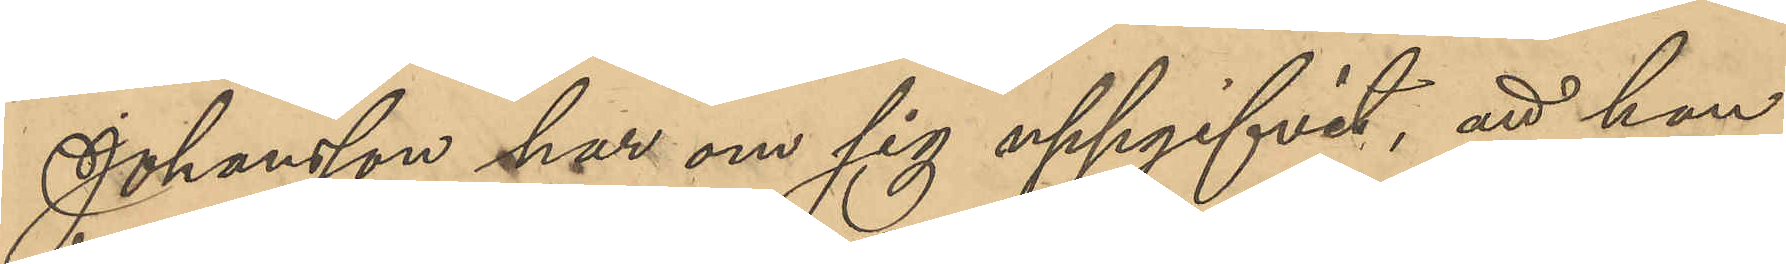Johansson har om sig uppgifvit, att han
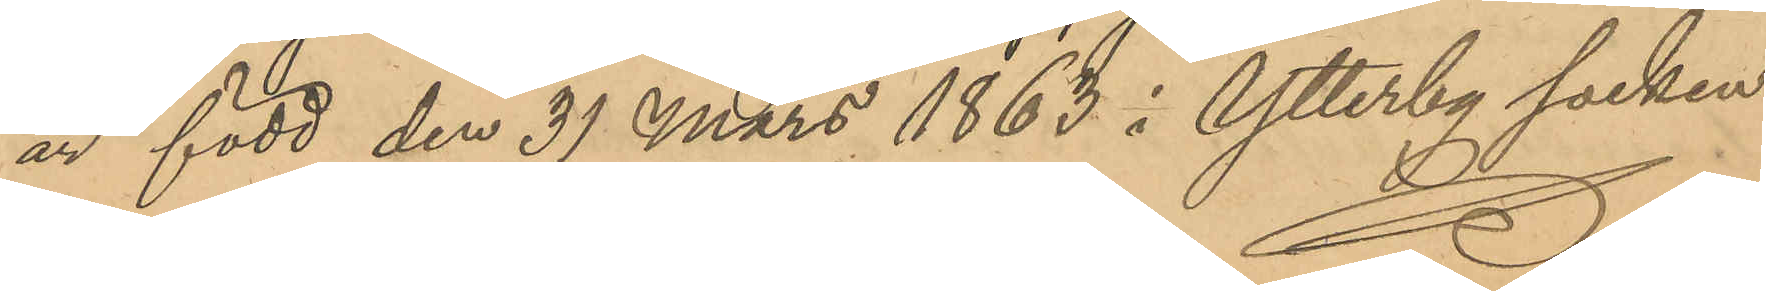är född den 31 Mars 1863 i Ytterby socken
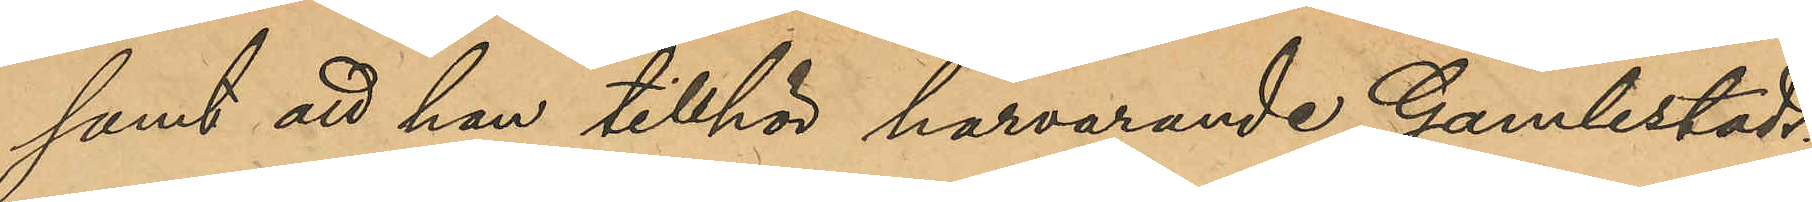samt att han tillhör härvarande Gamlestads
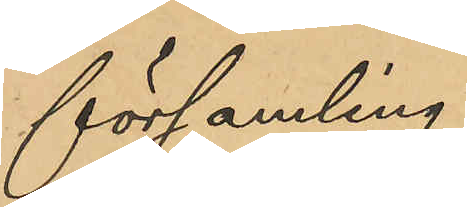församling.
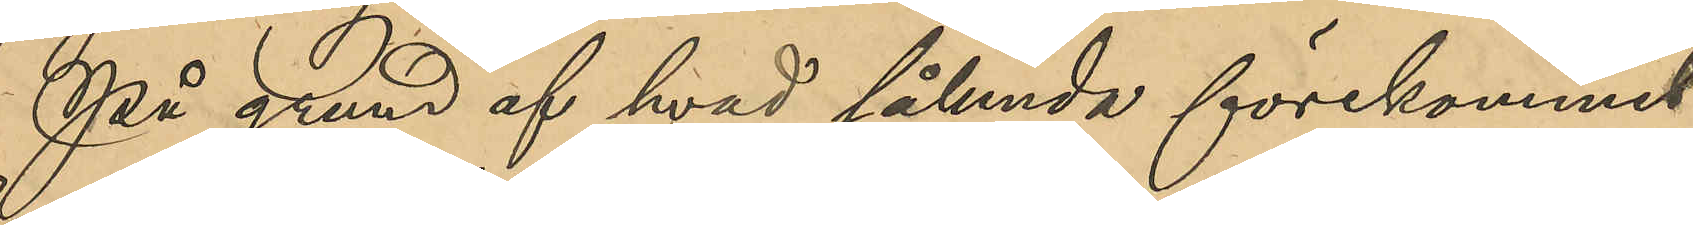På grund af hvad sålunda förekommit
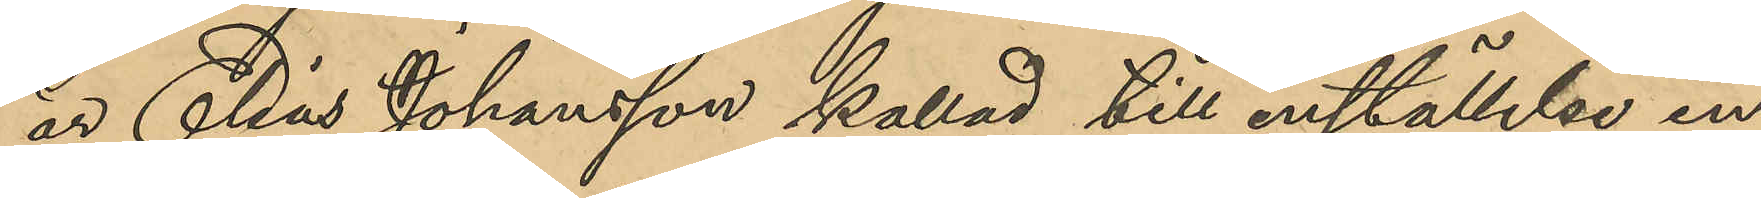är Elias Johansson kallad till inställelse in¬
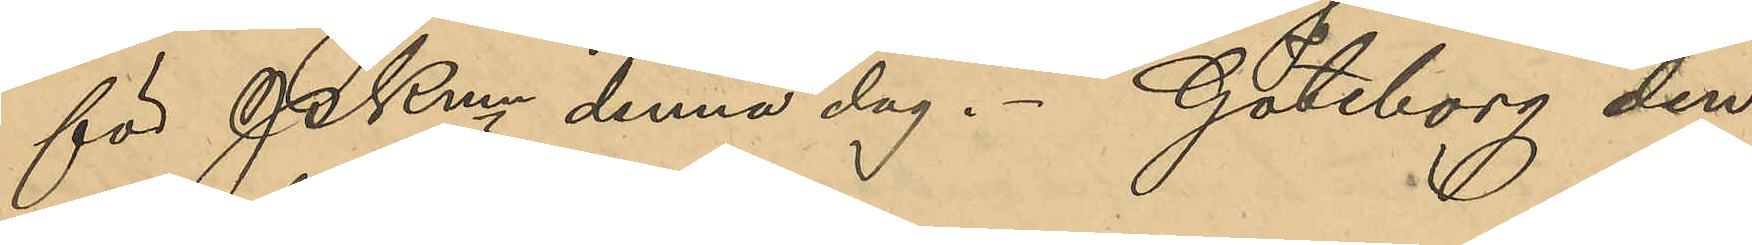för PKmn denna dag. Göteborg den
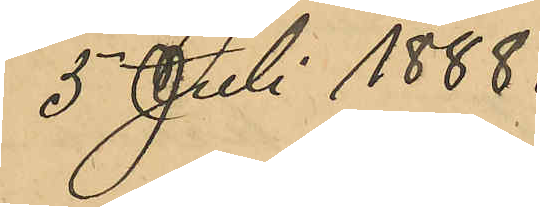5 Juli 1888.
